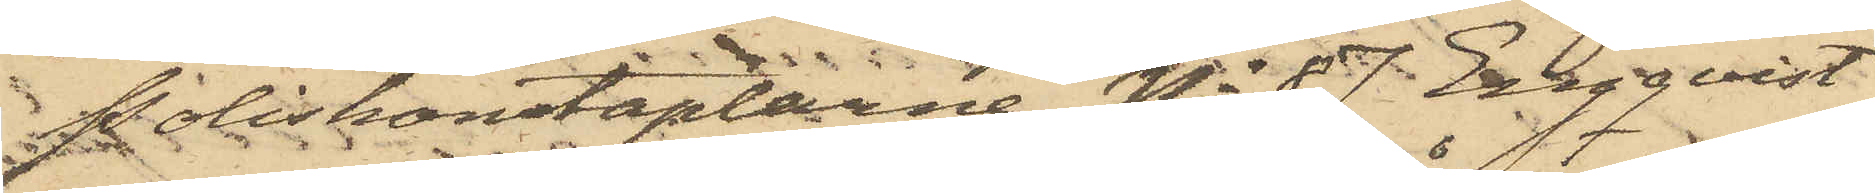Poliskonstaplarne No 87 Engqvist
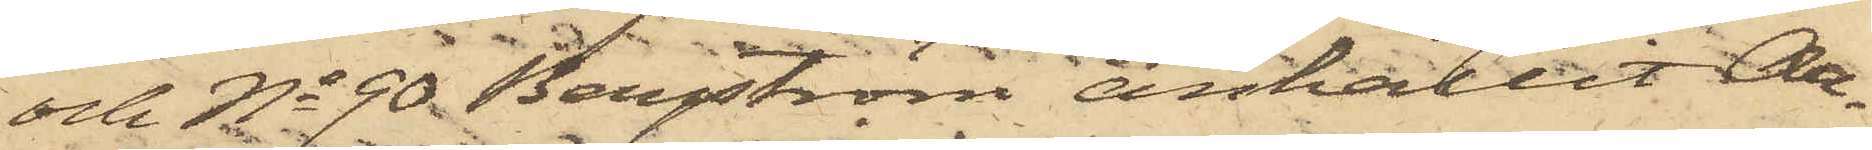och No 90 Bergström anhållit Ar¬
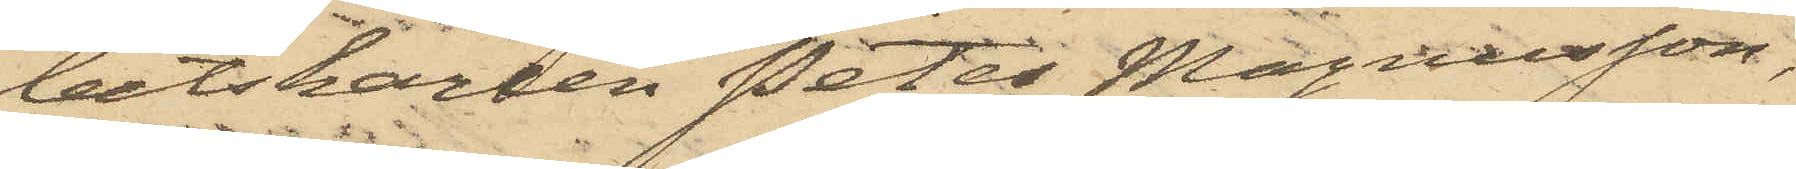betskarlen Peter Magnusson,
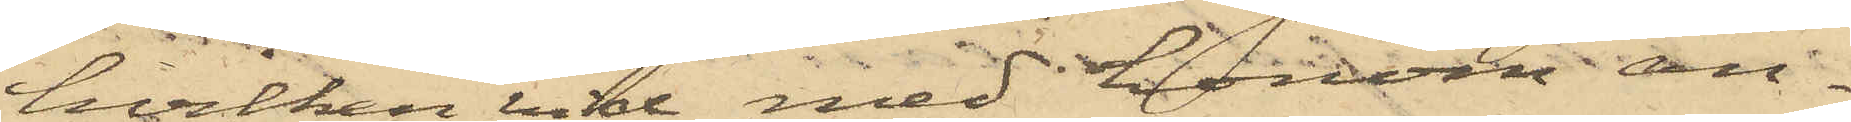hvilken vid med honon an¬
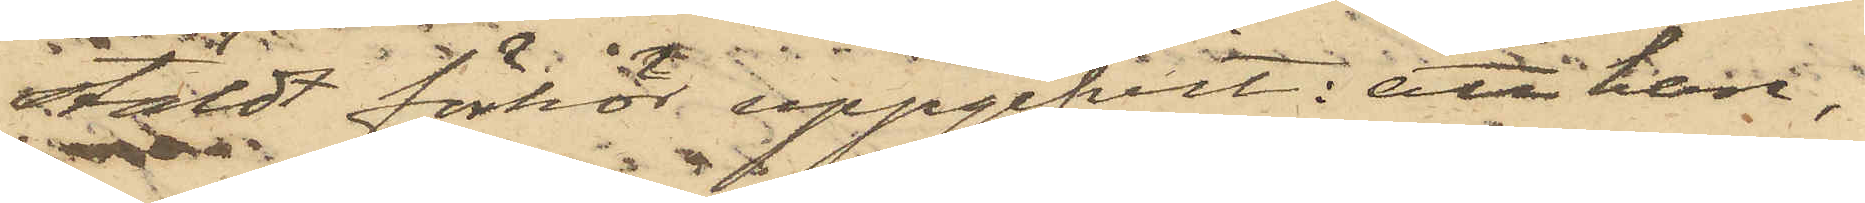stäldt förhör uppgifvit: att han,
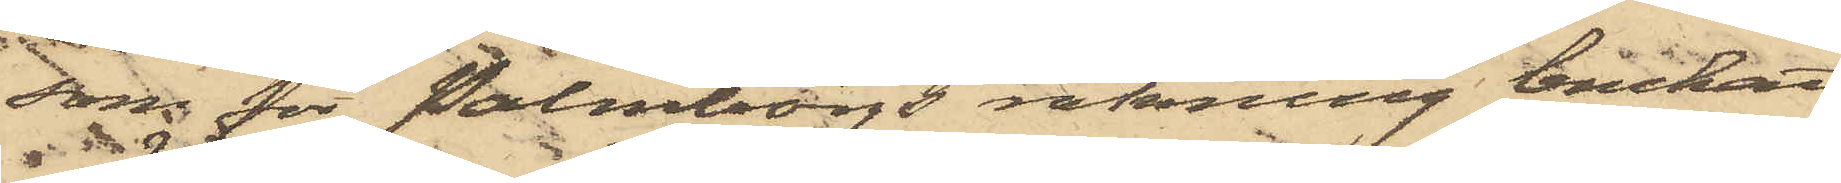som för Palmborgs räkning brukat
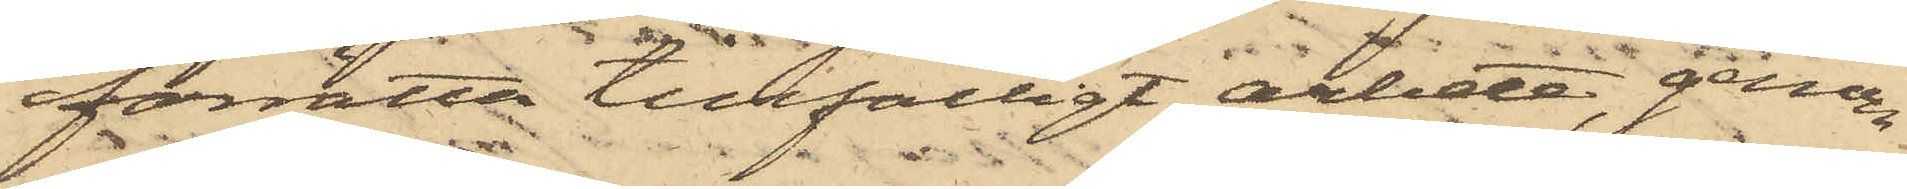förrätta tillfälligt arbete, genom
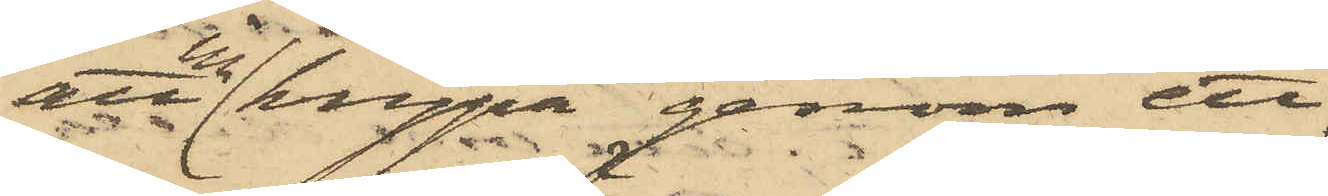att krypa genom ett
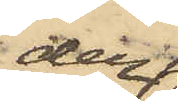den
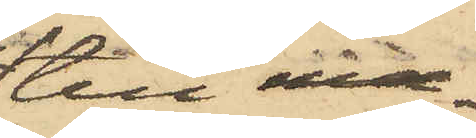till- ma¬
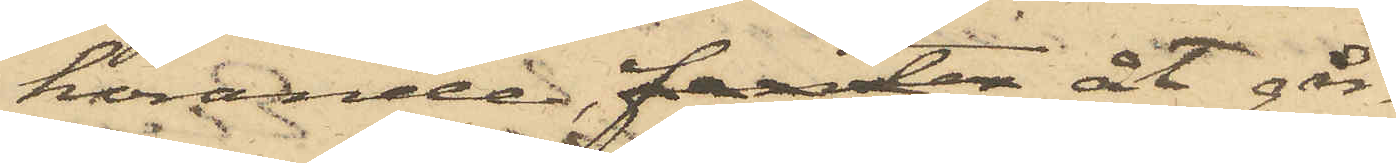hörande, fenster åt går¬
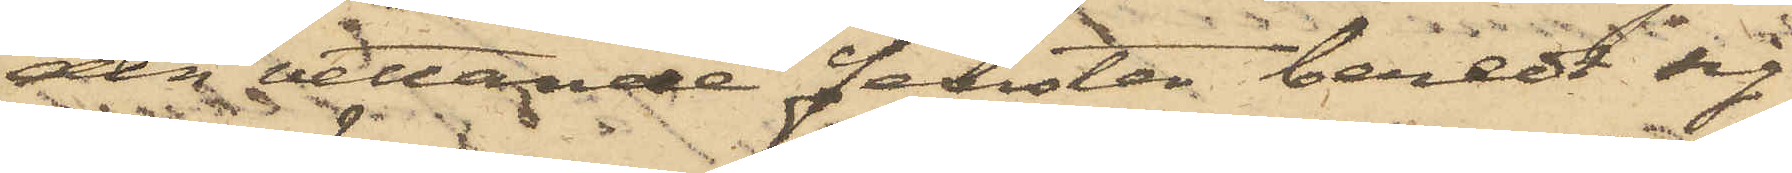den vettande fenster beredt sig
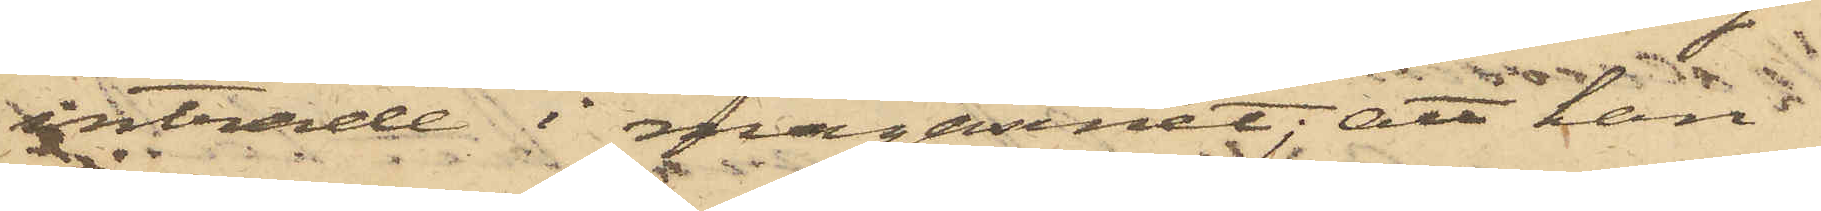inträde i magasinet; att han
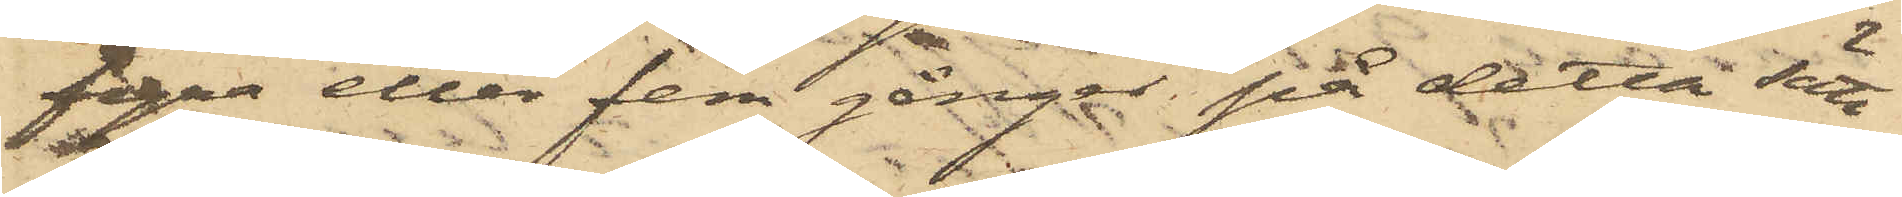fyra eller fem gånger på detta sätt
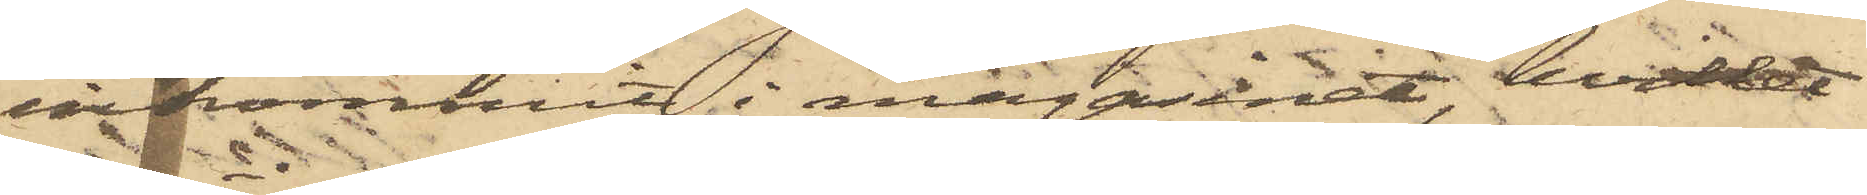inkommit i magasinet, hvilket
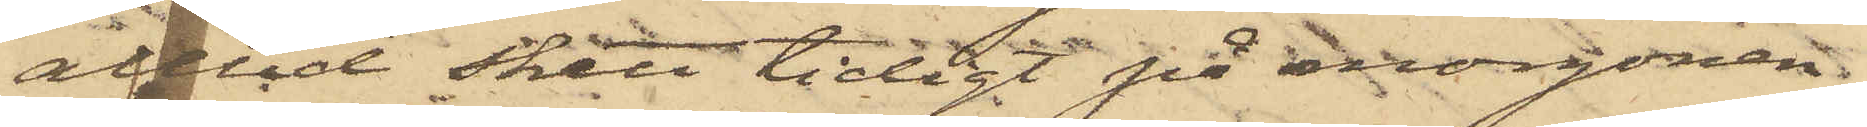alltid skett tidigt på morgonen,
